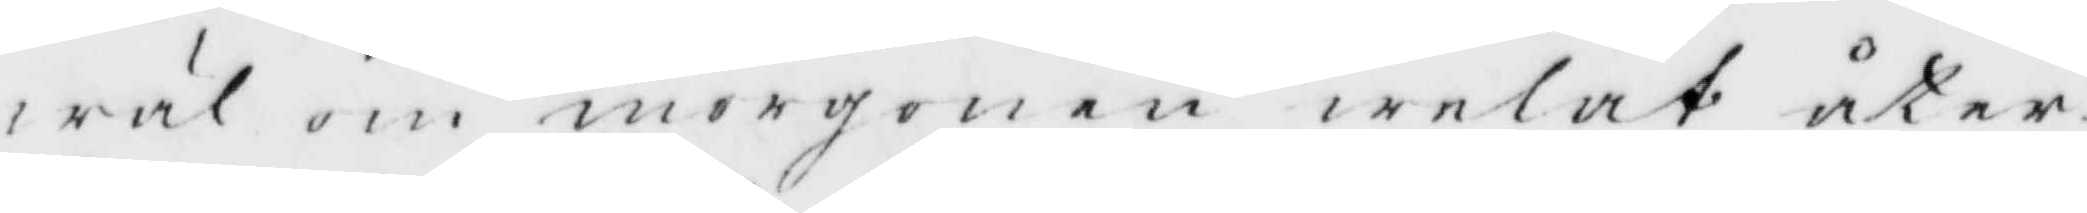wäl om morgonen welat åter¬
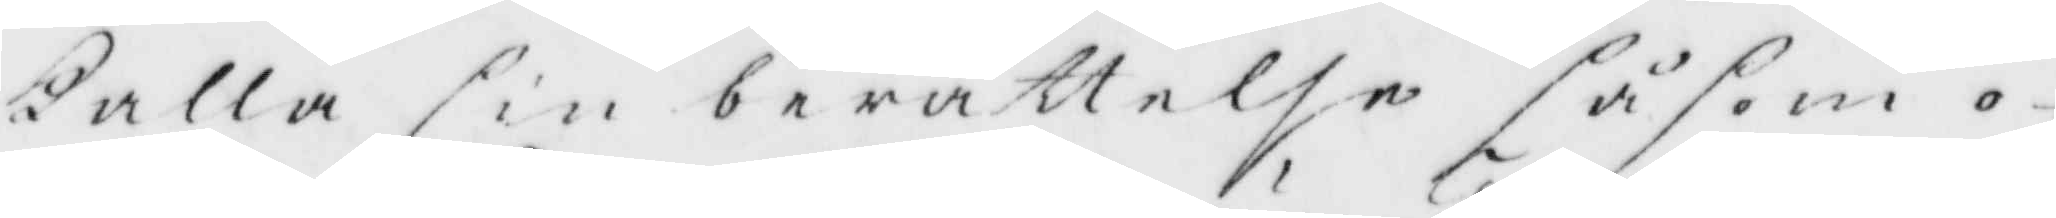kalla sin berättelse såsom o¬
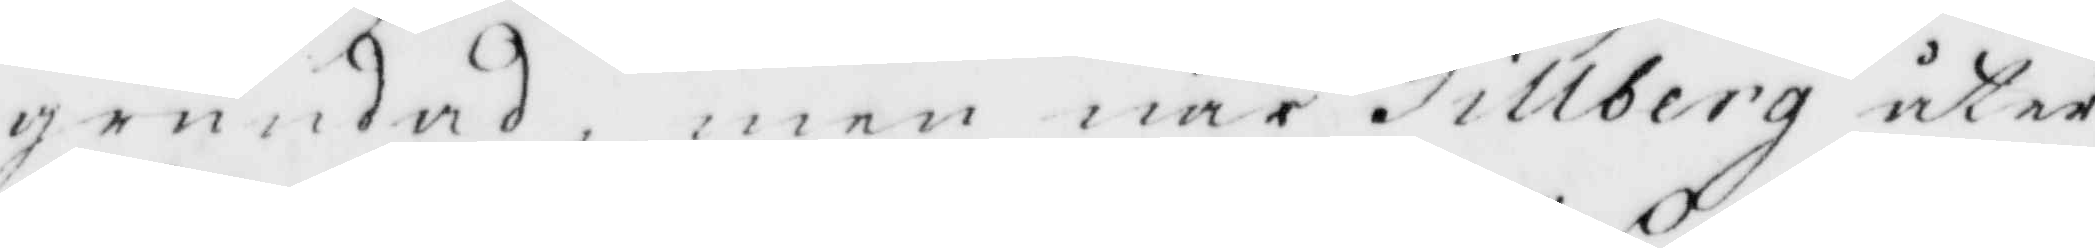grundad, men när Tillberg åter
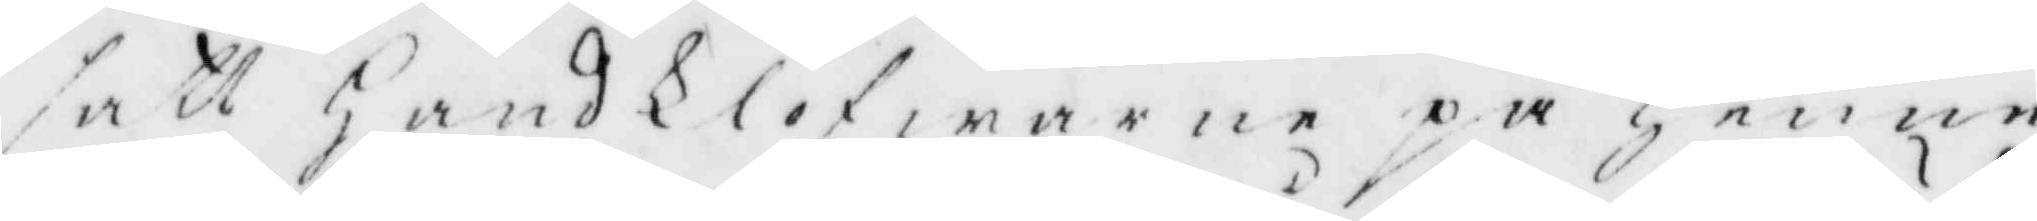satt Handklöfwarne på Henne
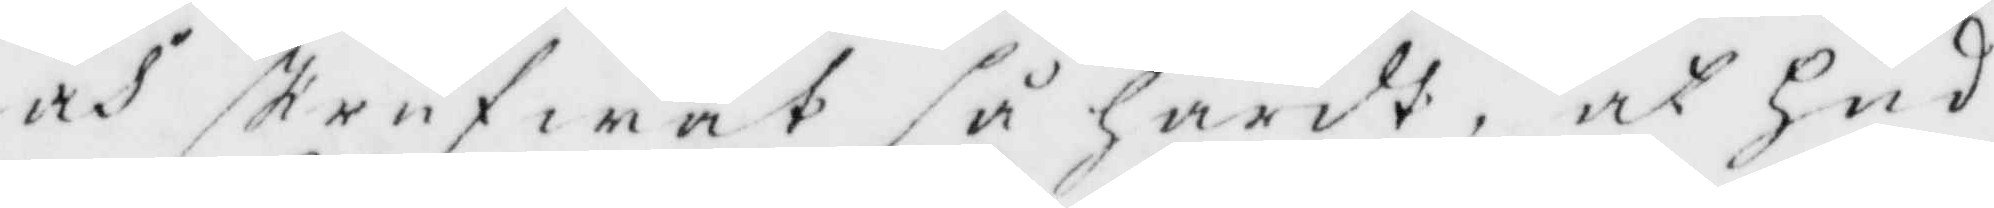och skrufwat så hårdt, ay hud
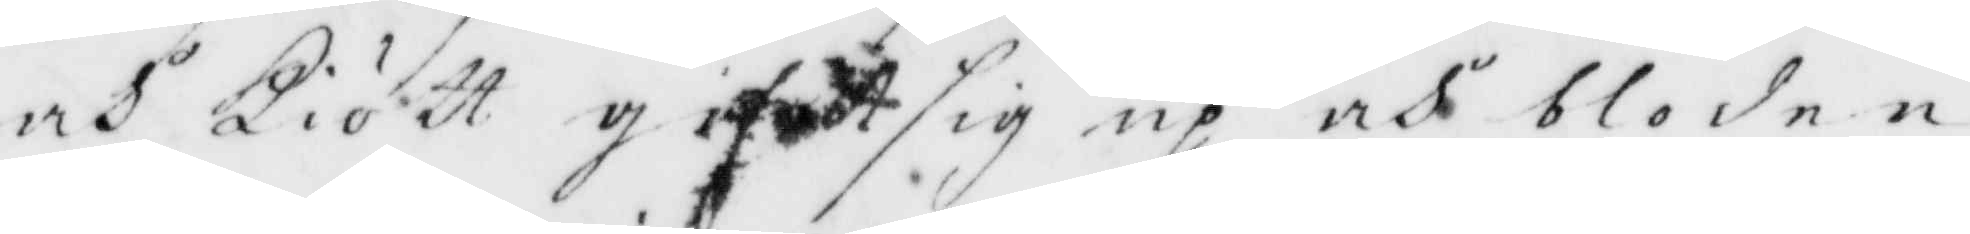och Kiött gifwet sig up och bloden
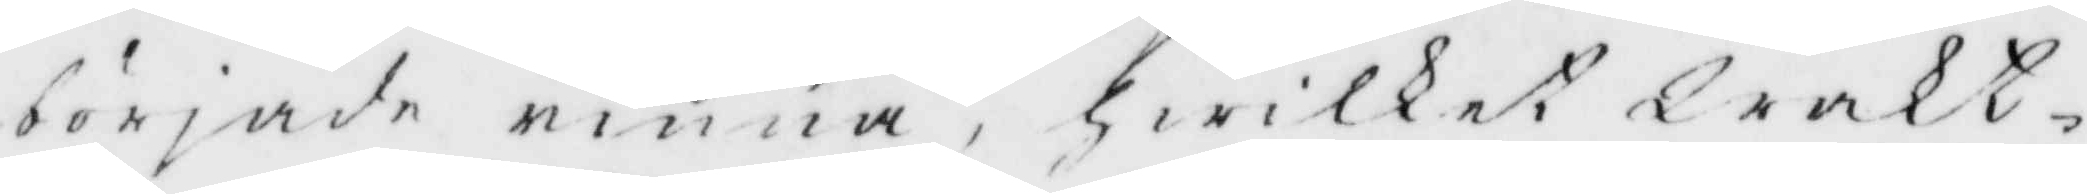började rinna, gwilket Wakt¬
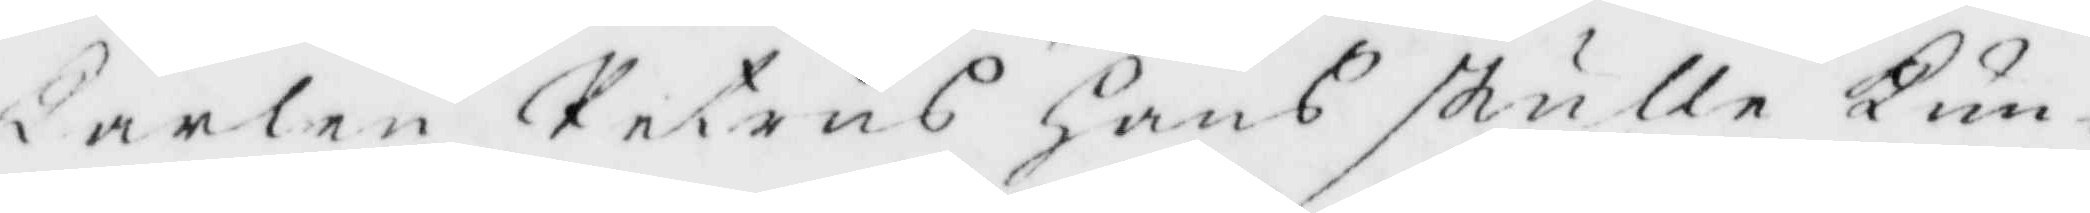karlen Petrus Hans skulle Kun¬
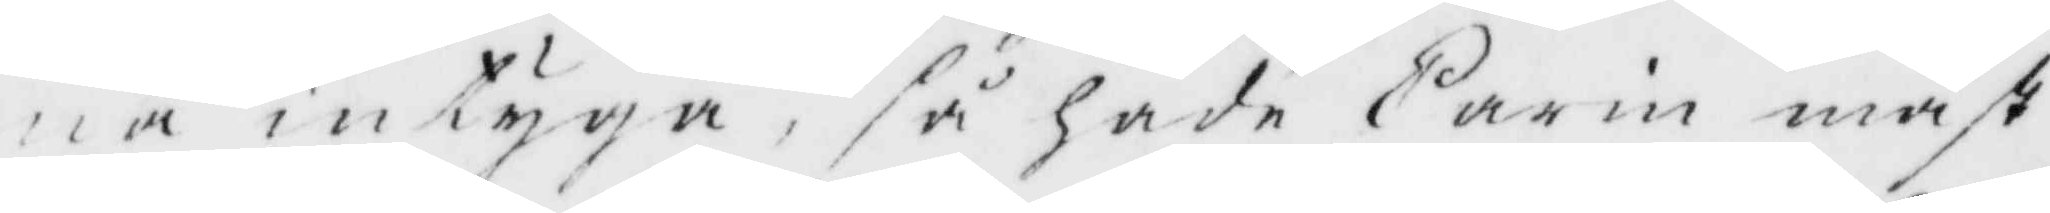na intyga, så hade Carin måst
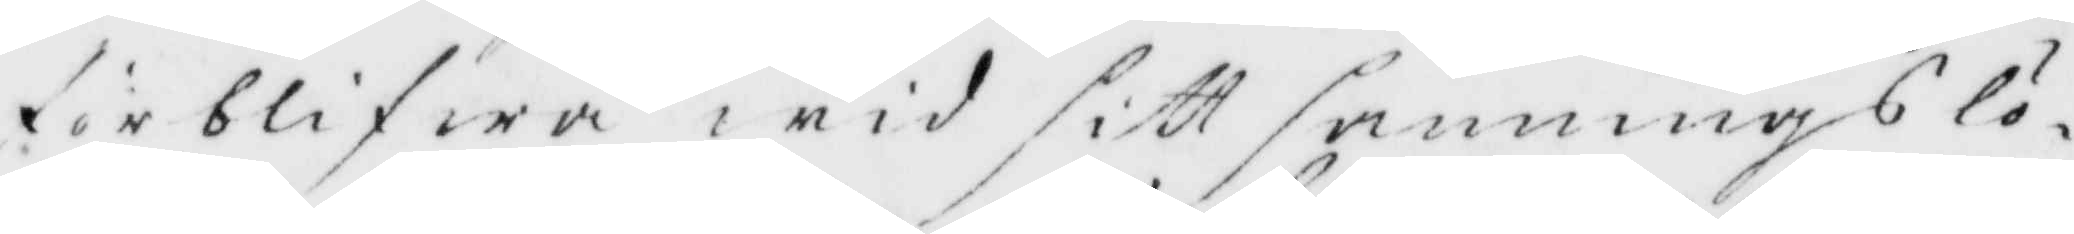förblifwa wid sitt sanningslö¬
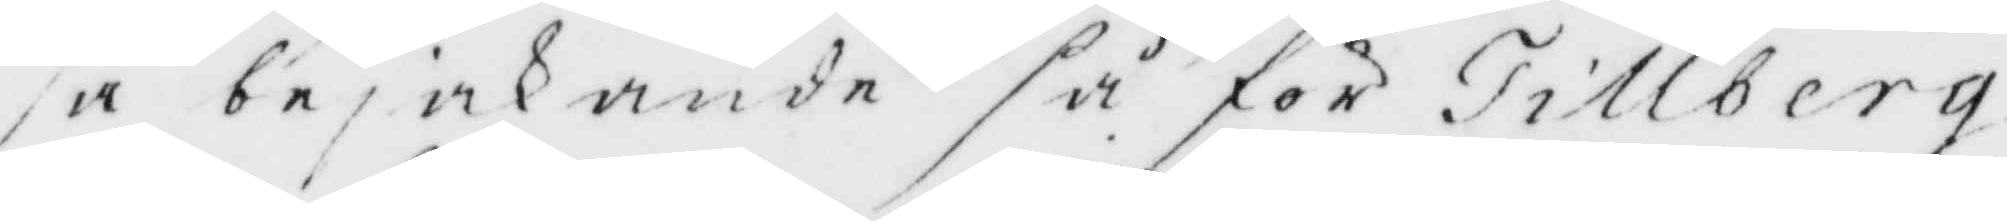sa bejakande så för Tillberg
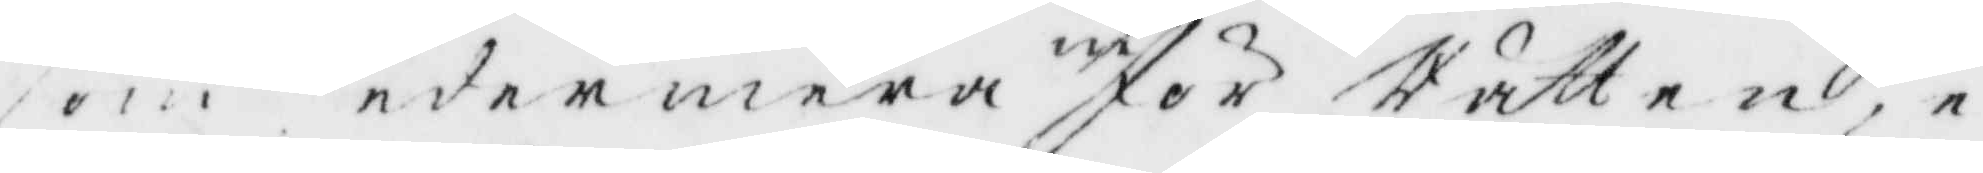som sedermena inför Rätten, e¬
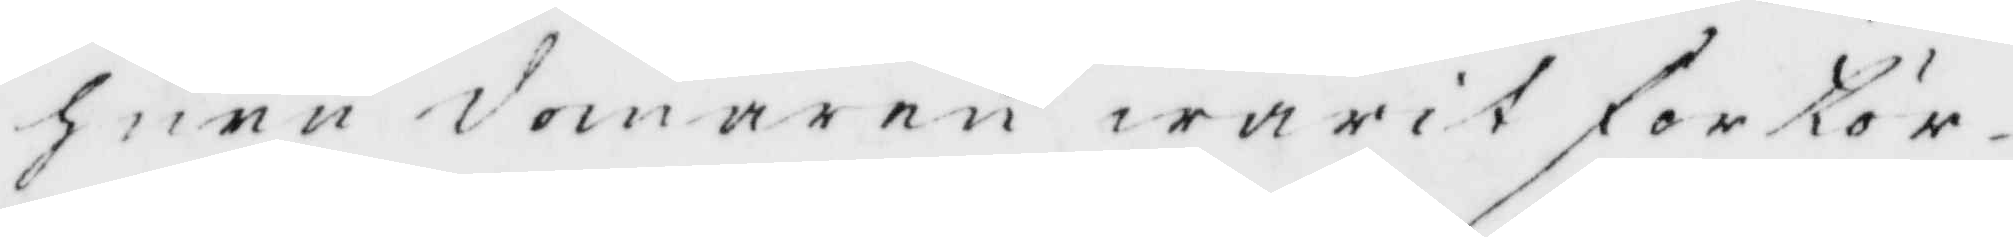huru domaren warit förtör¬
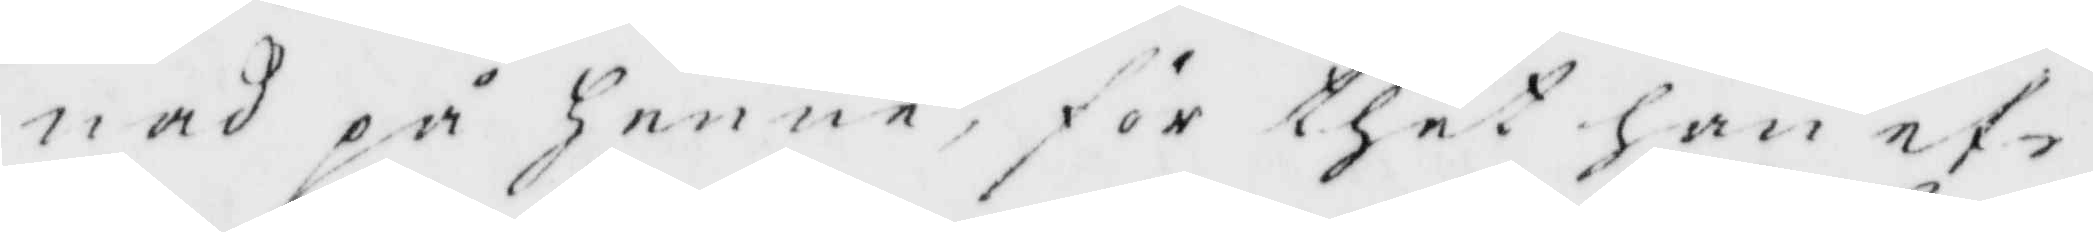nad på henne för thet hon ef¬
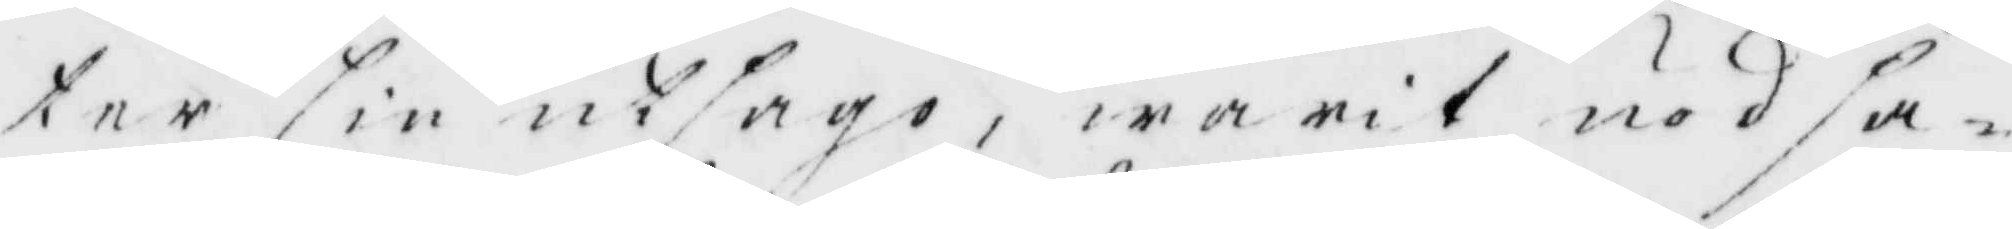ter sin utsago, warit nödsa¬
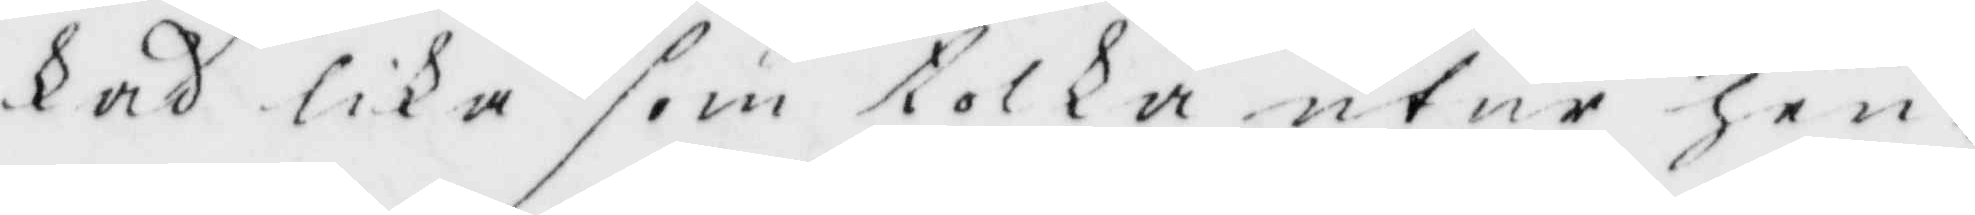kad lika som tolka utur hen¬
